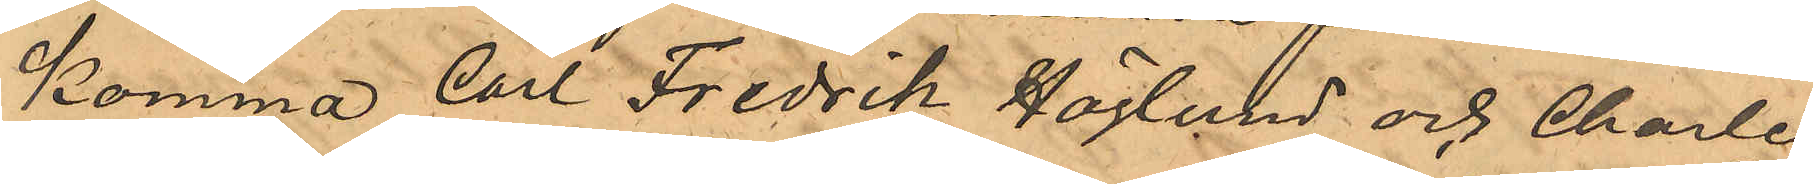komma Carl Fredrik Höglund och Charles
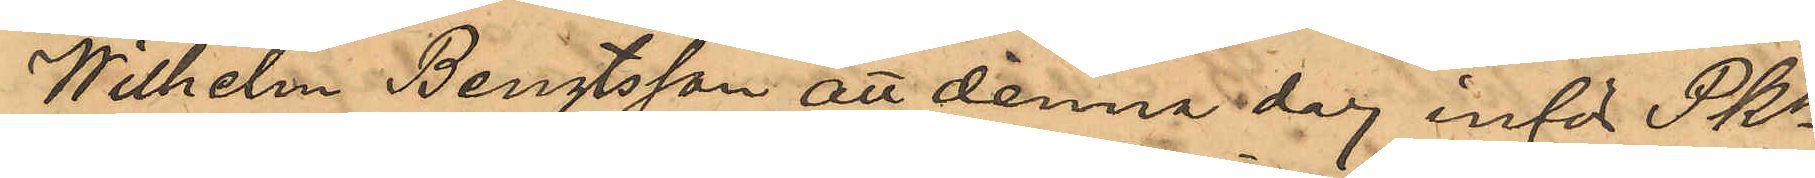Wilhelm Bengtsson att denna dag inför Pkn
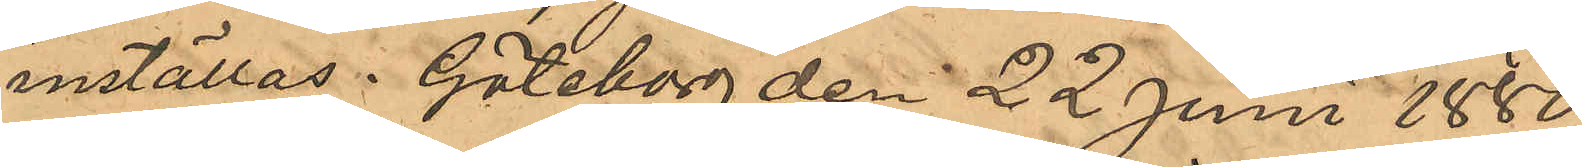inställas. Göteborg den 22 Juni 1880.
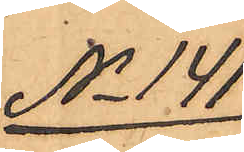No 141
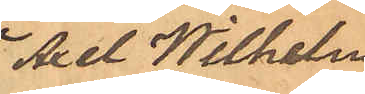Axel Wilhelm
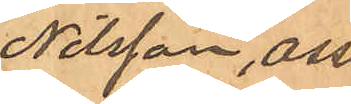Nilsson, Ossi
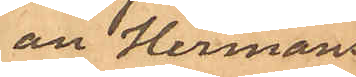an Hermans¬
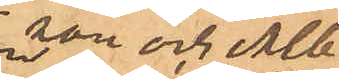son och Alb.
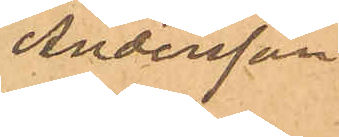Andersson.
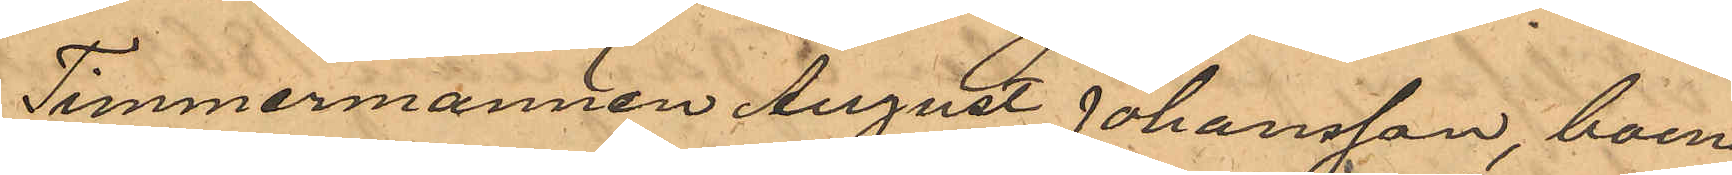Timmermannen August Johansson, boende
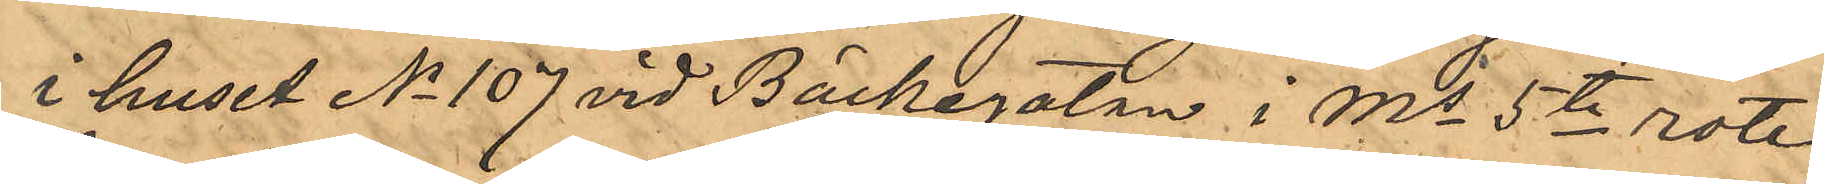i huset No 107 vid Bäckegatan i Ms 5te rote,
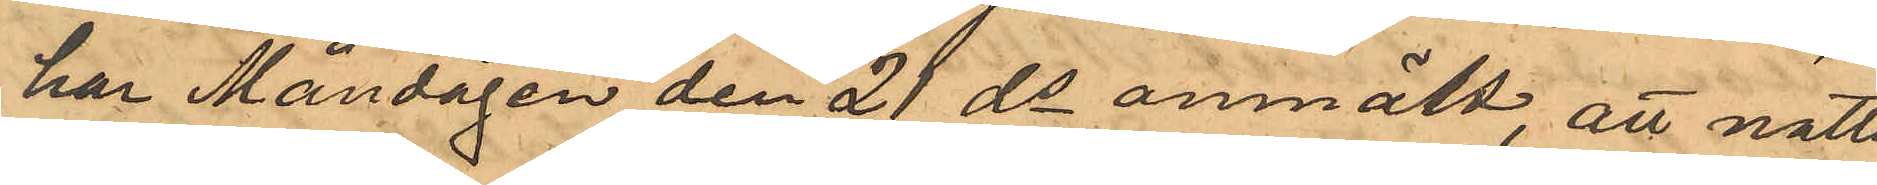har Måndagen den 21 ds anmält att natten
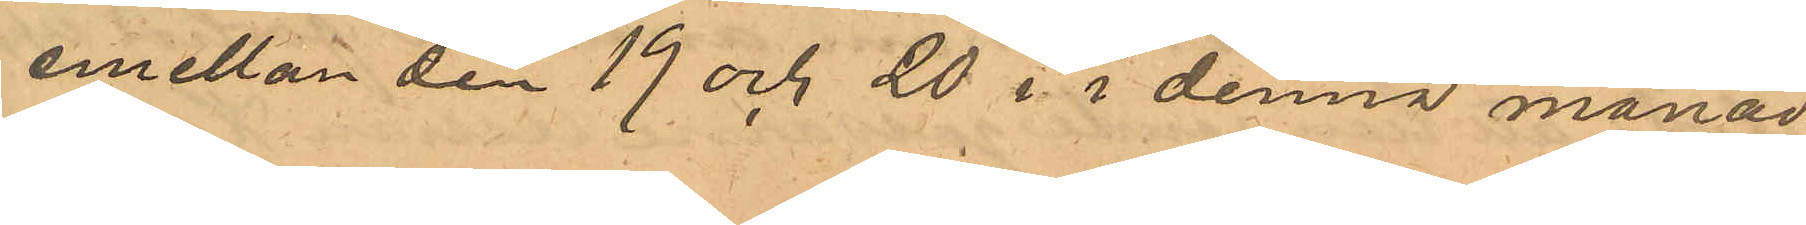emellan den 19 och 20 i i denna månad
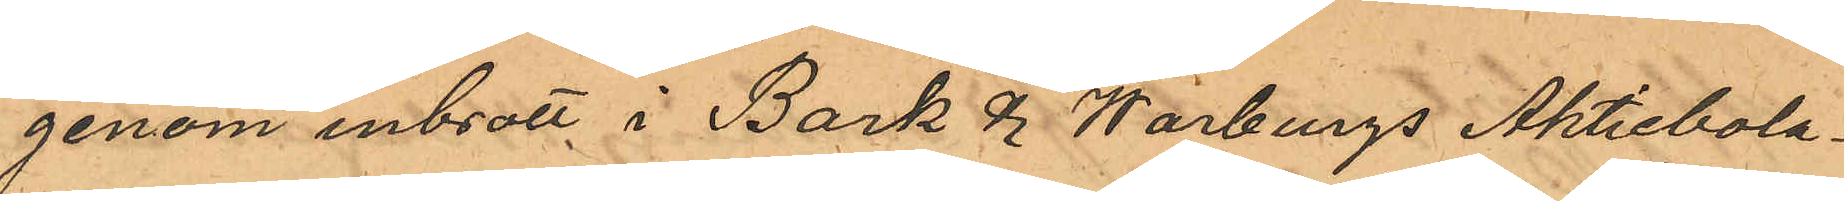genom inbrott i Bark & Warburgs Aktiebola¬
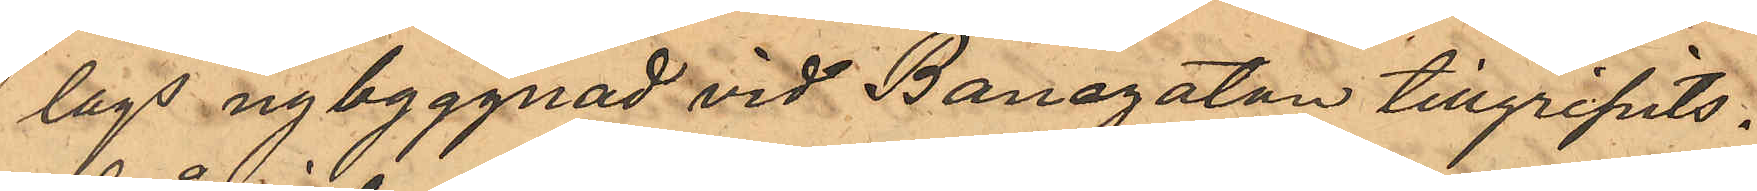lags nybyggnad vid Banegatan tillgripits:
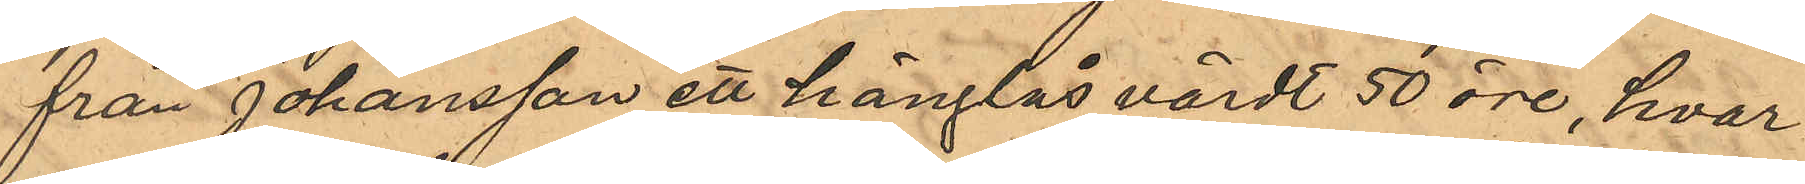från Johansson ett hänglås värdt 50 öre, hvar¬
